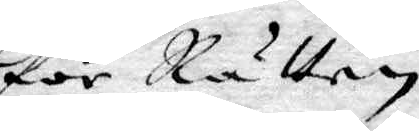för Rätten
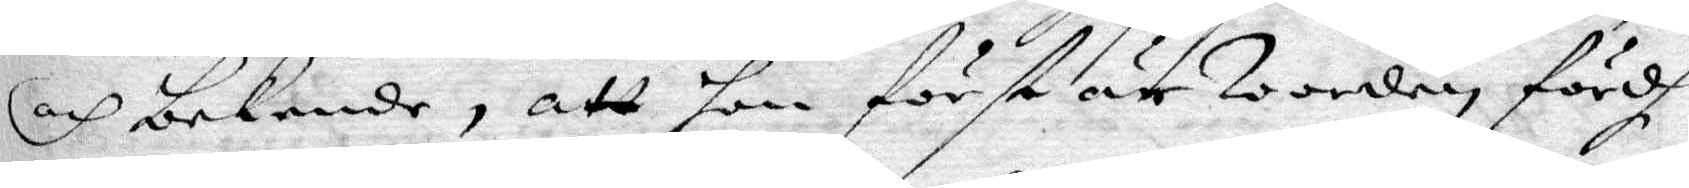och bekende, att hon först är Wordig fördh
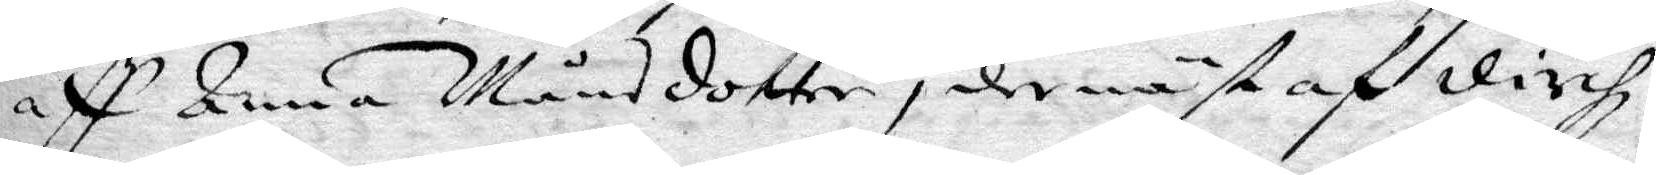aff Anna Månsdotter, dernäst af dirchz
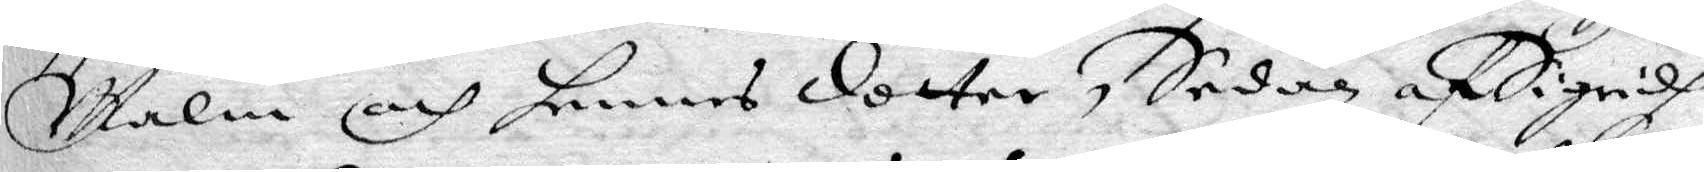Malin och hennes dotter, Sedan af Sigridh
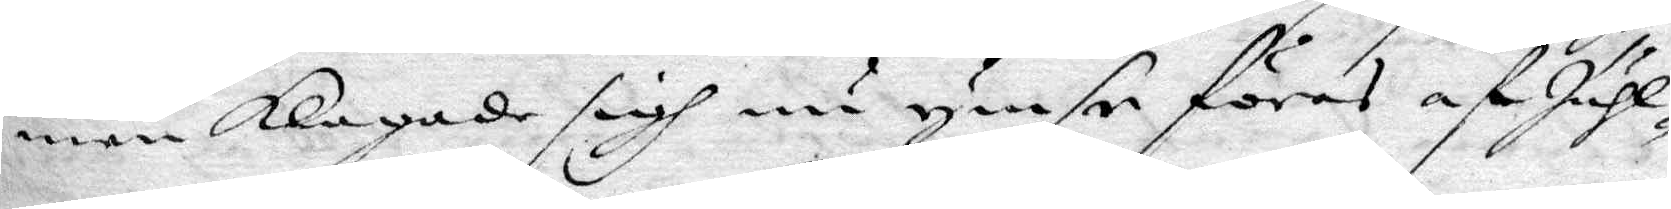men klagade sigh nu ymse föras af Juhl¬
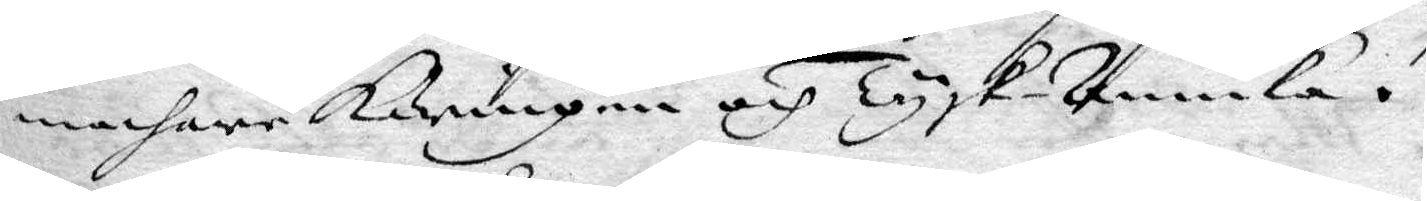machare Käringen och Tysk-Annika.
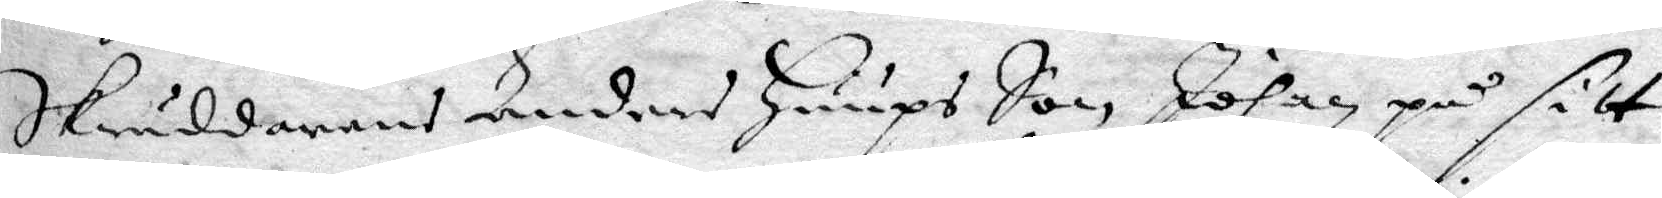Skräddarens Anders Huups Son, Johan på sitt
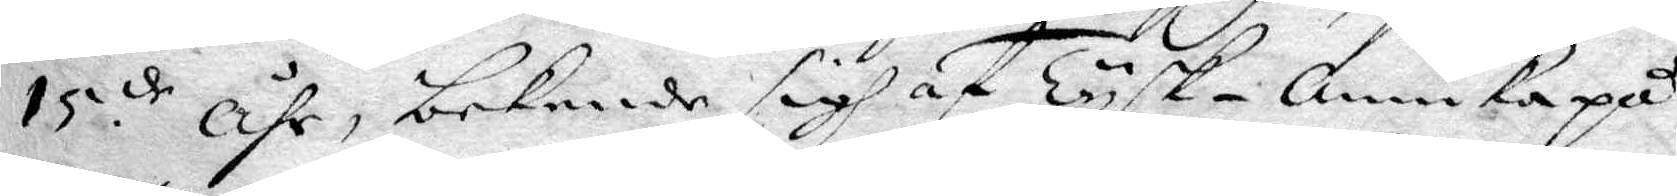15de åhr, bekende sigh af Tysk-Annika på
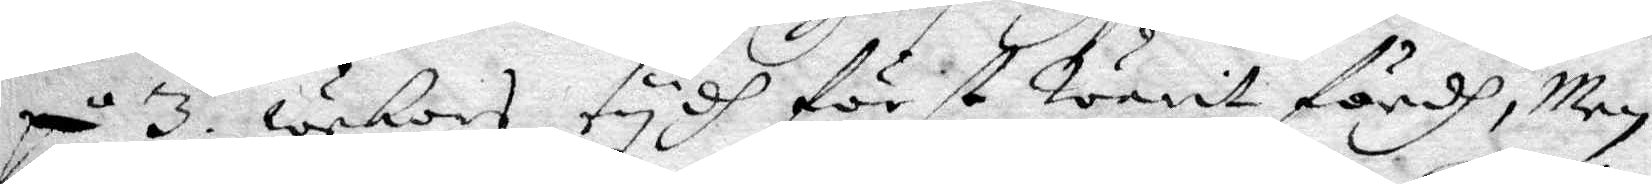på 3. wekors tydh först Warit fördh, men
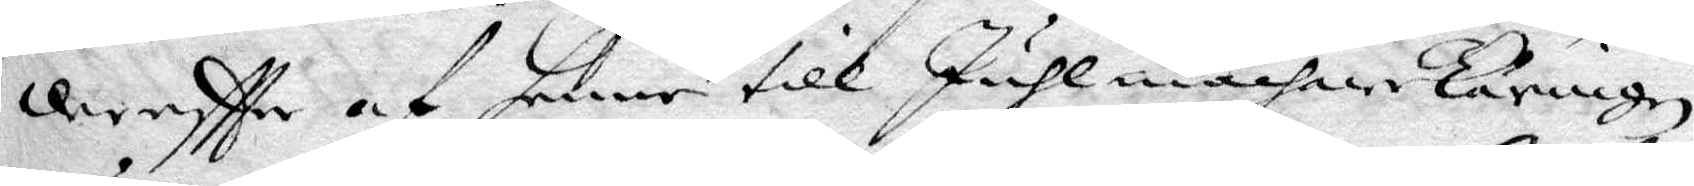dereftter af henne till JuhlmachareKäringen
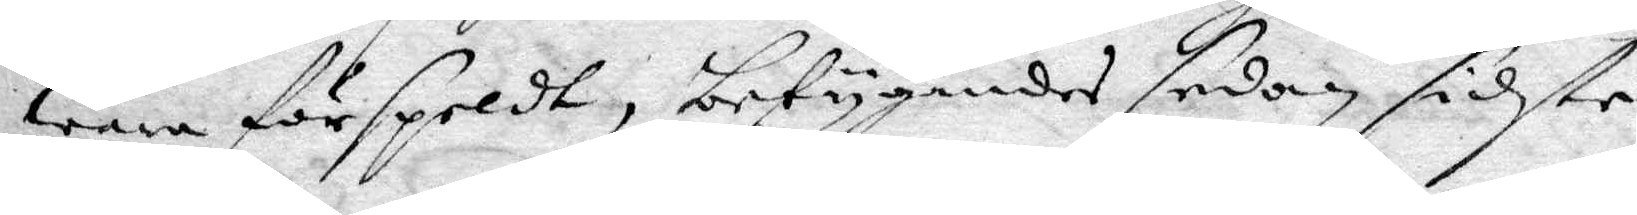wara förspeldt, betygandes sedan sidste
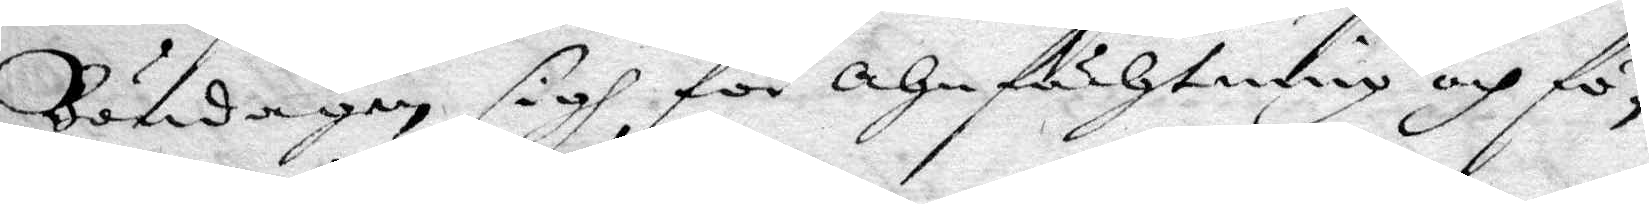Böndagen sigh för ahnfächtning och fö¬
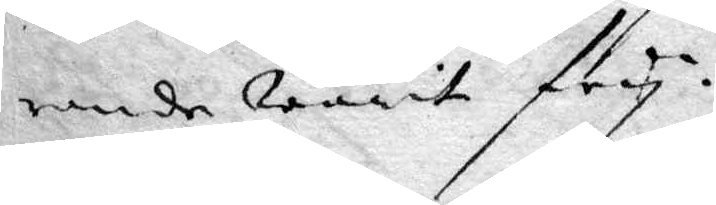rande warit fry.
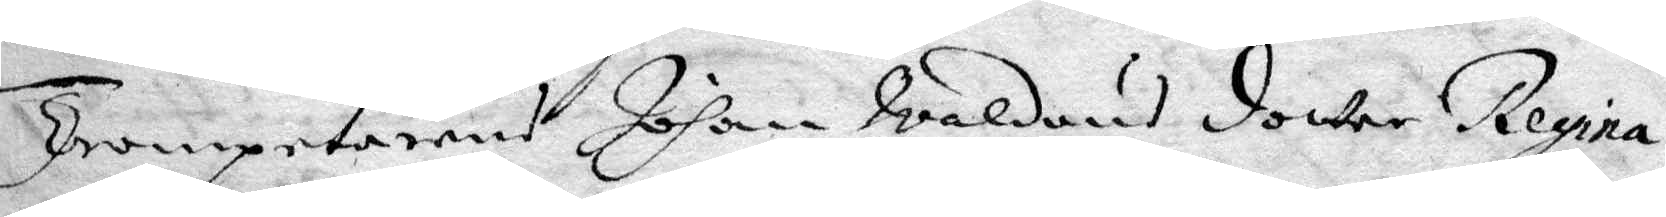Trompetarens Johan Waldeus dotter Regina
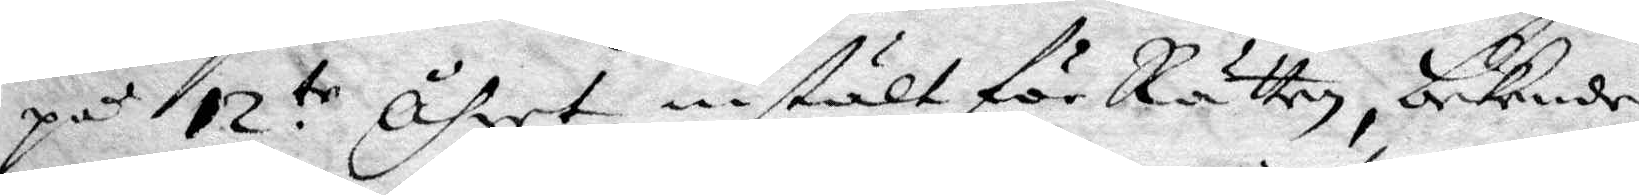på 12te åhret instält för Rätten, bekende
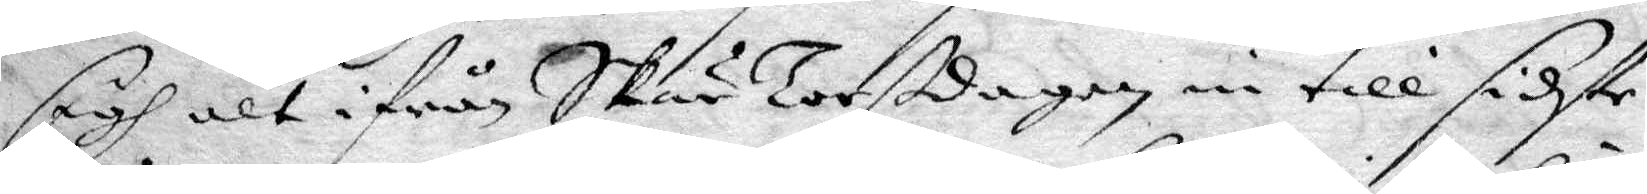sigh alt ifrån SkärTorsdagen in till sidste
